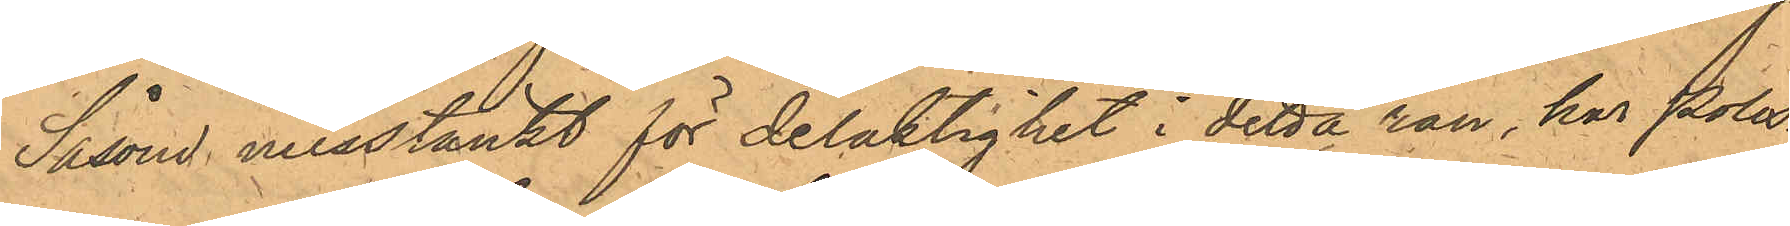Såsom misstänkt för delaktighet i detta rån, har Polis¬
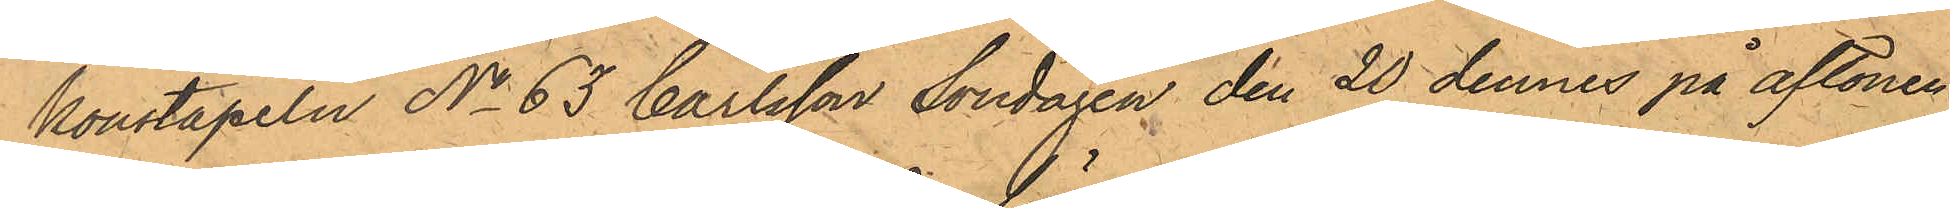konstapeln No 63 Carlsson Söndagen den 20 dennes på aftonen
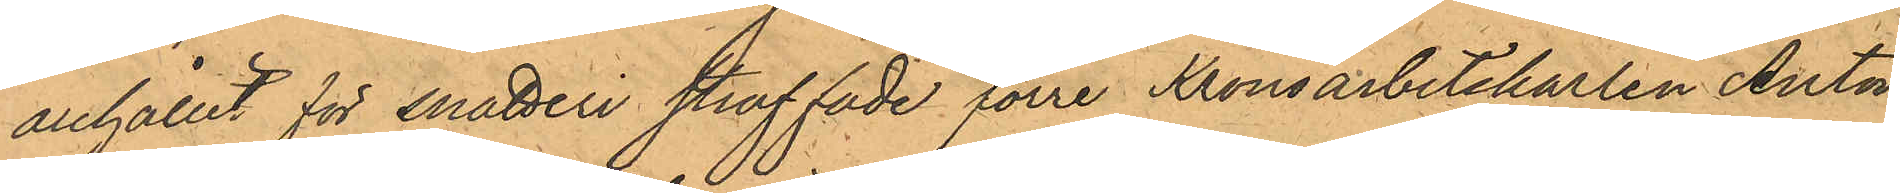anhållit för snatteri straffade förre Kronoarbetskarlen Anton
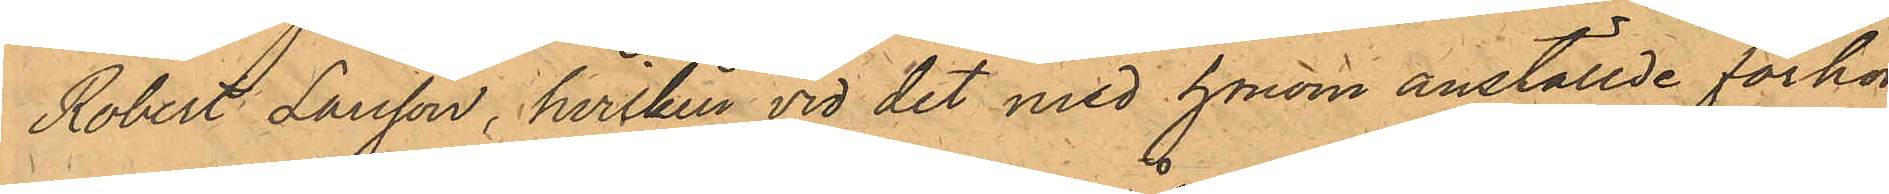Robert Larsson, hvilken vid det med honom anställde förhör
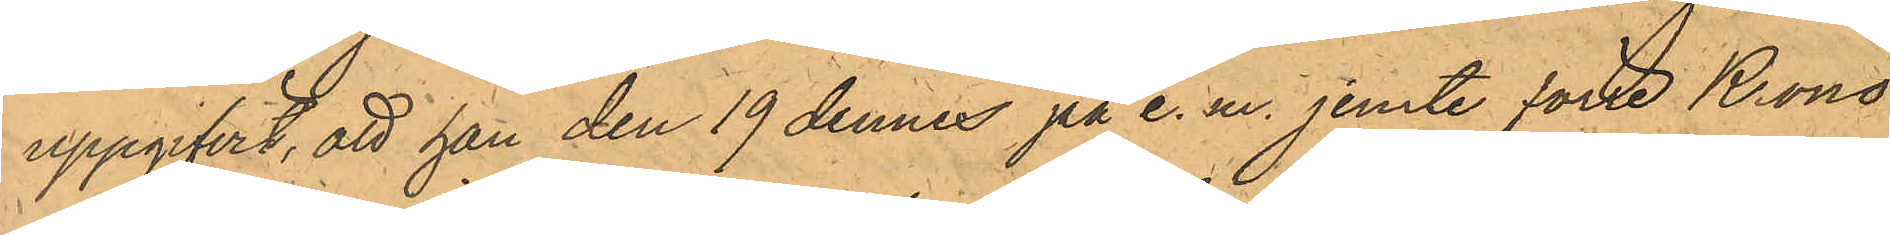uppgifvit, att han den 19 dennes på e. m. jemte förre Krono¬
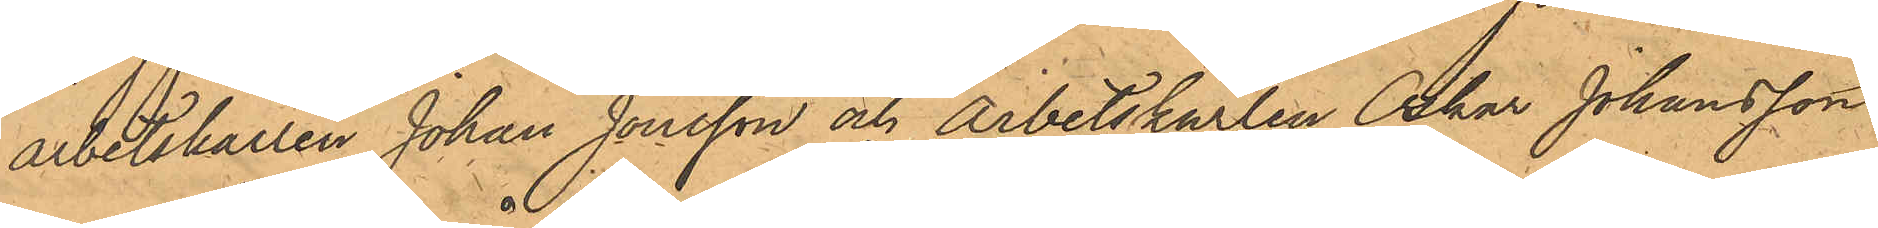arbetskarlen Johan Jonsson och Arbetskarlen Oskar Johansson
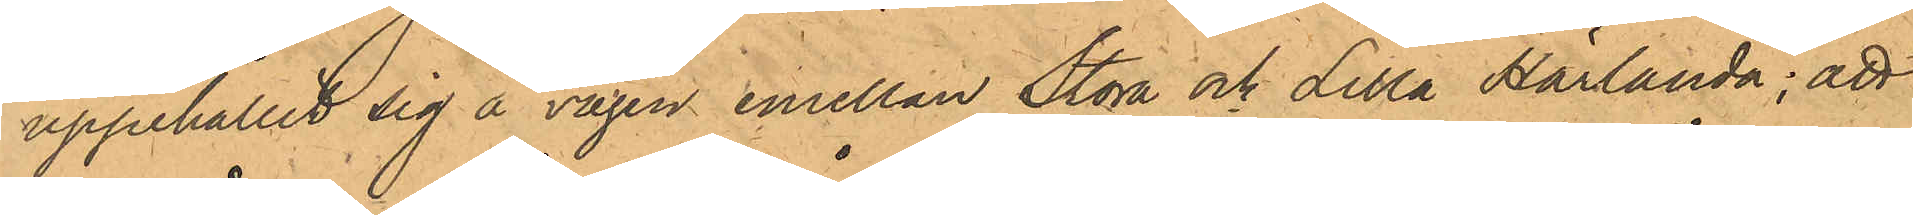uppehållit sig å vägen emellan Stora och Lilla Härlanda; att
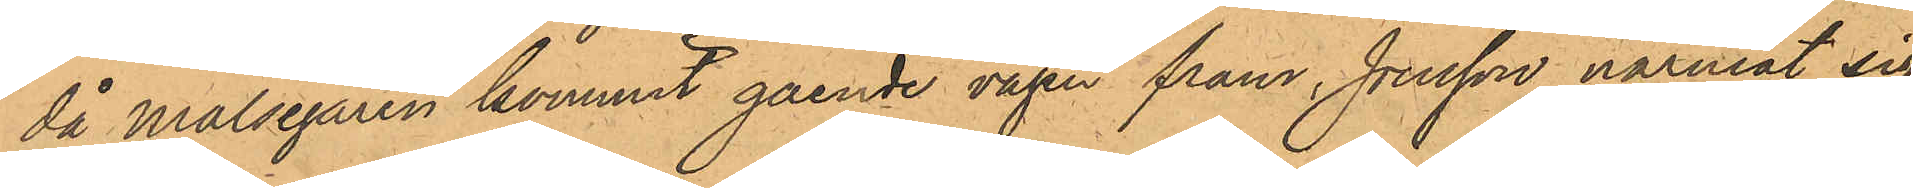då Målsegaren kommit gående vägen fram, Jonsson närmat sig
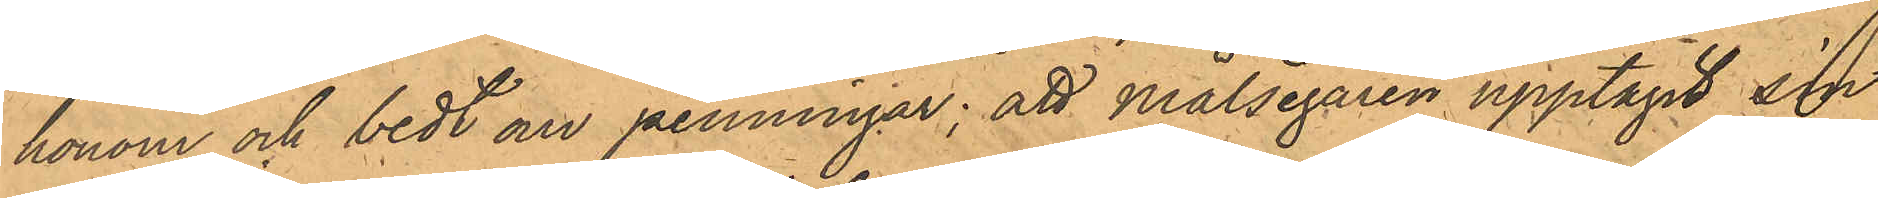honom och bedt om penningar; att Målsegaren upptagit sin
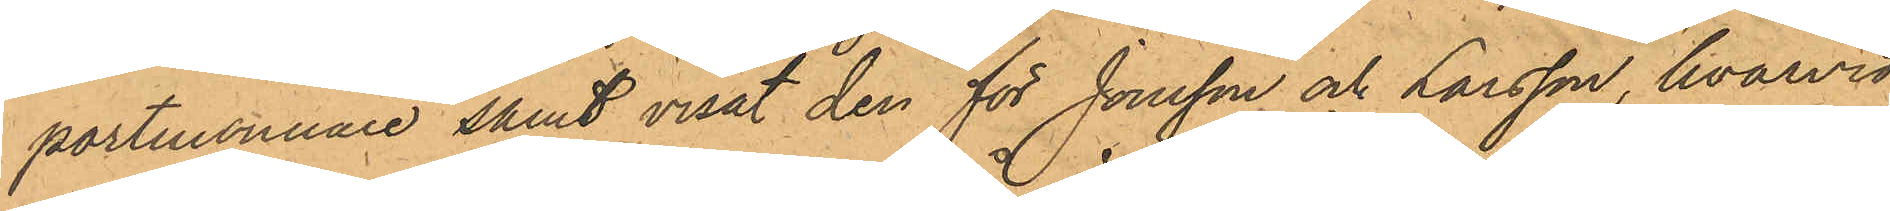portmonnaie samt visat den för Jonsson och Larsson, hvarvid
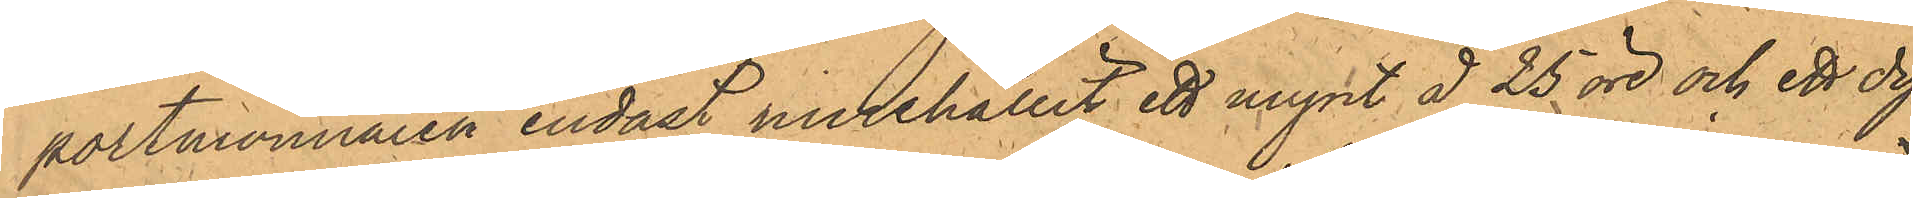portmonnaien endast innehållit ett mynt å 25 öre och ett dy¬
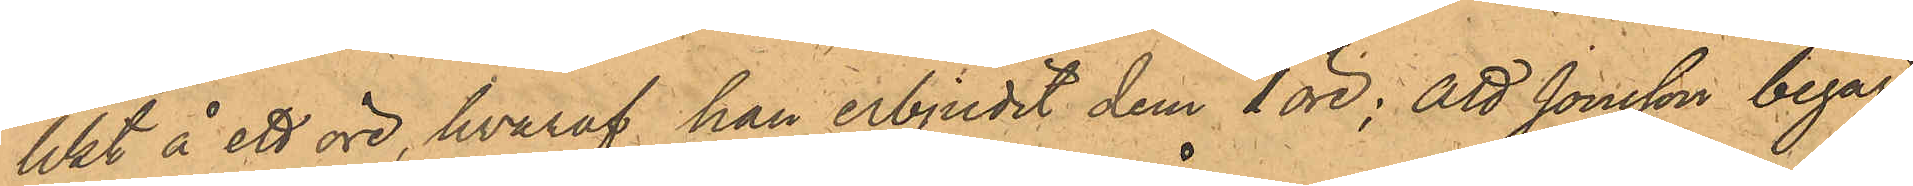likt å ett öre, hvaraf han erbjudit dem 1 öre; att Jonsson begärt
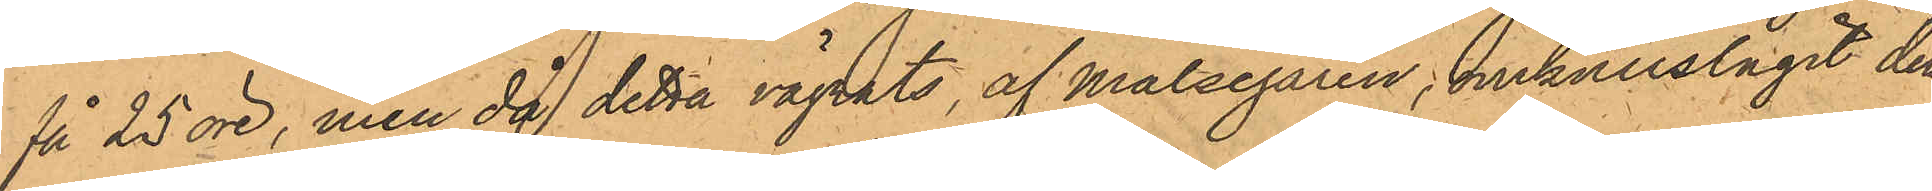få 25 öre, men då detta vägrats, af Målsegaren; omkullslagit der¬
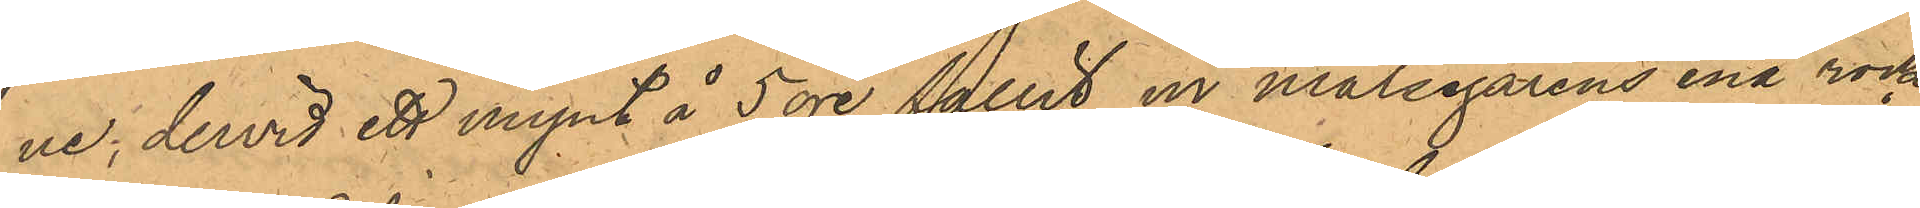ne; dervid ett mynt å 5 öre fallit en målsegarens ena rock¬
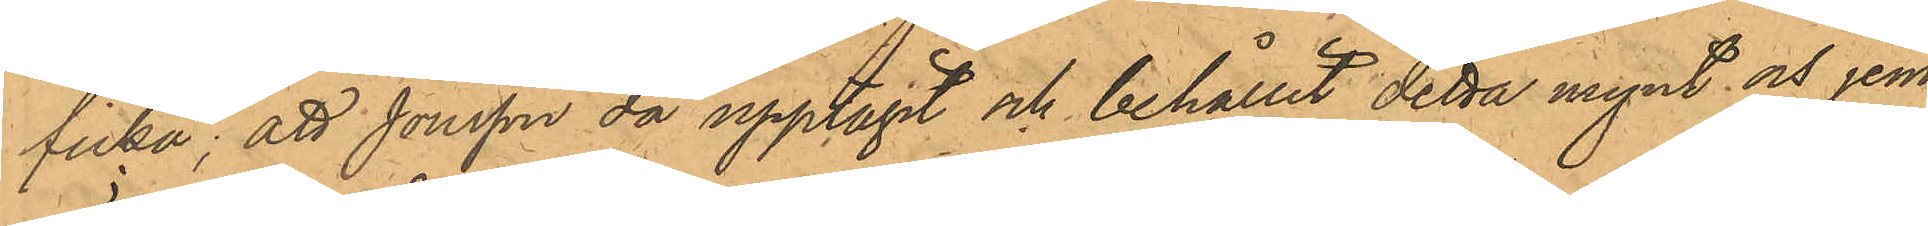ficka; att Jonsson då upptagit och behållit detta mynt och jem¬
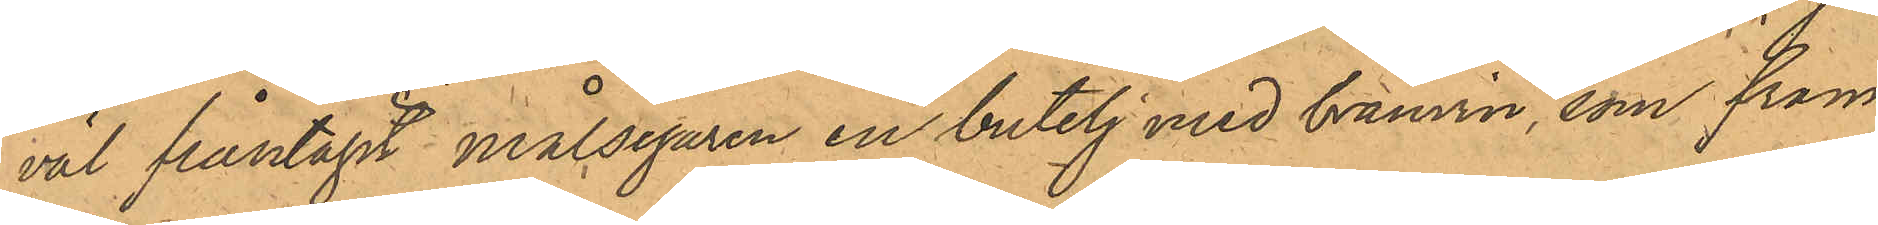väl fråntagit målsegaren en butelj med bränvin, som fram
